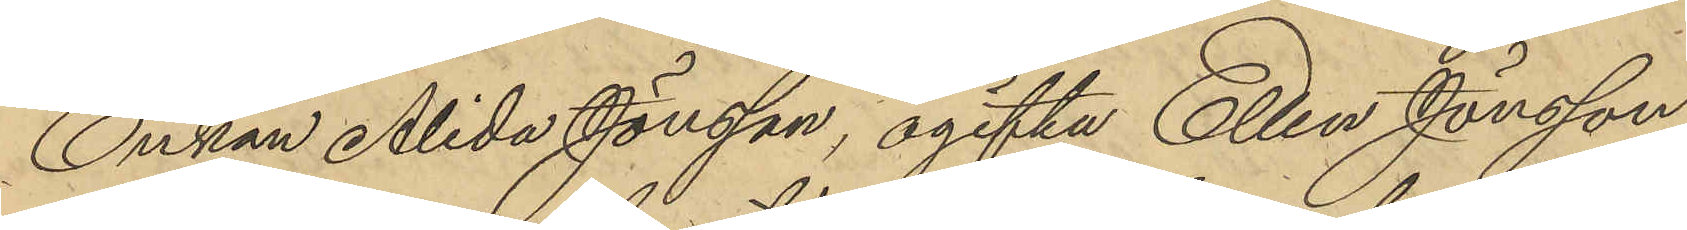Enkan Alida Jönsson, ogifta Ellen Jönsson
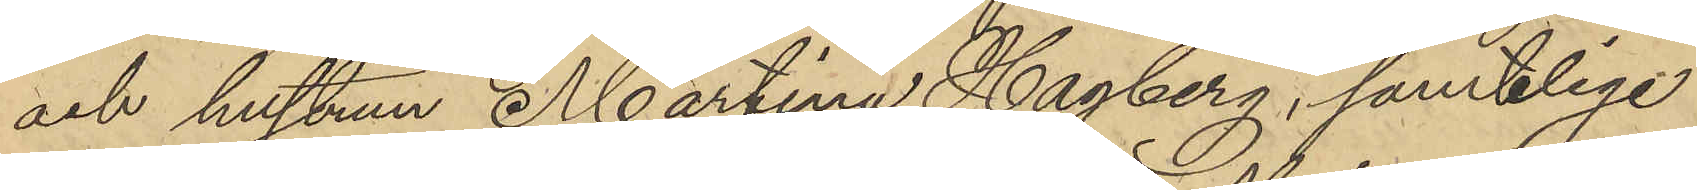och hustrun Martina Hagberg, samtlige
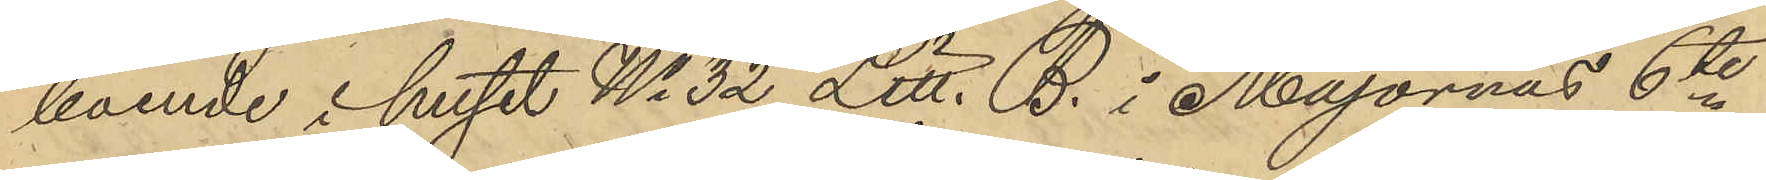boende i huset No 32 Litt. B. i Majornas 6te
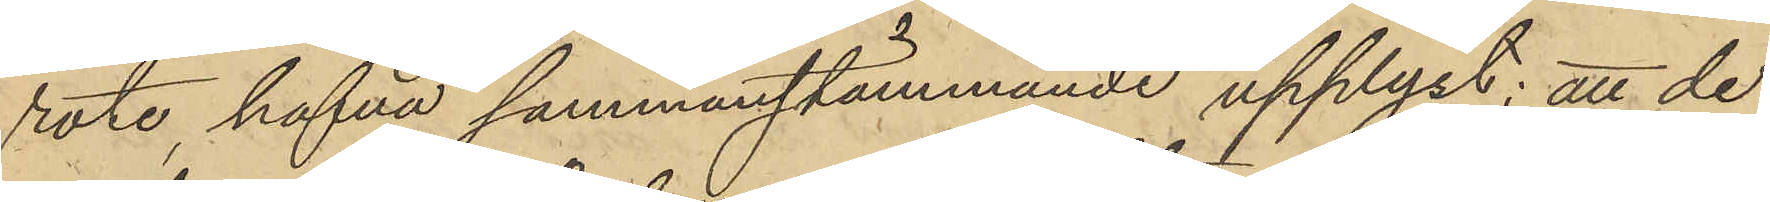rote, hafva sammanstämmande upplyst: att de
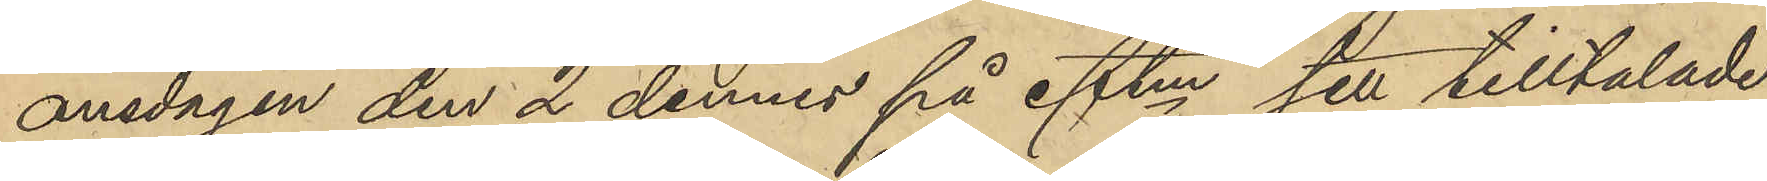onsdagen den 2 dennes på eftm sett tilltalade
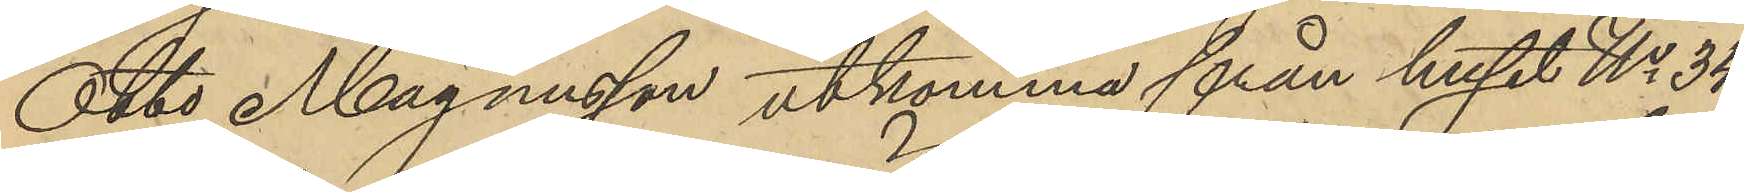Otto Magnusson utkomma från huset No 34
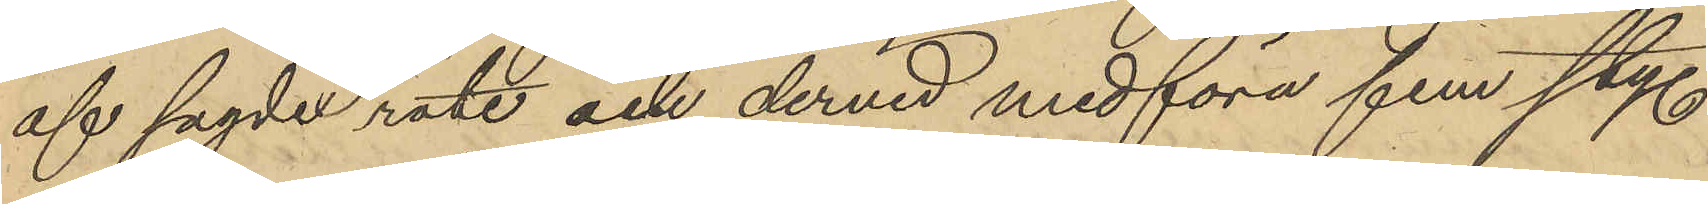af sagde rote och dervid medföra fem sty.
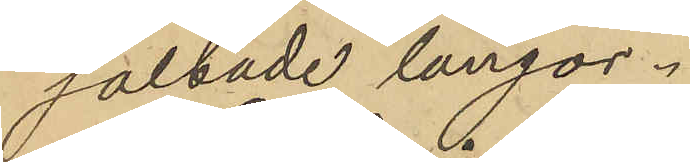saltade långor.
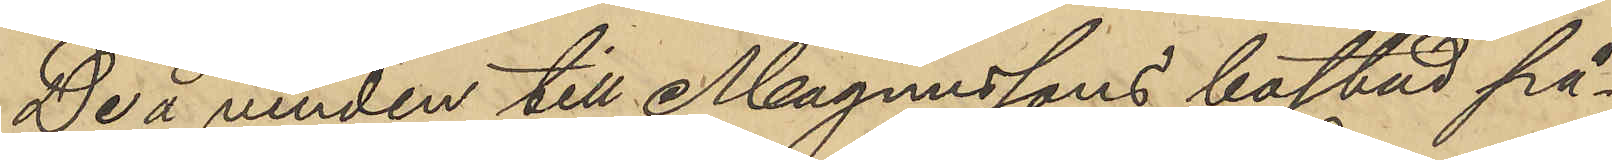De å vinden till Magnussons bostad på¬
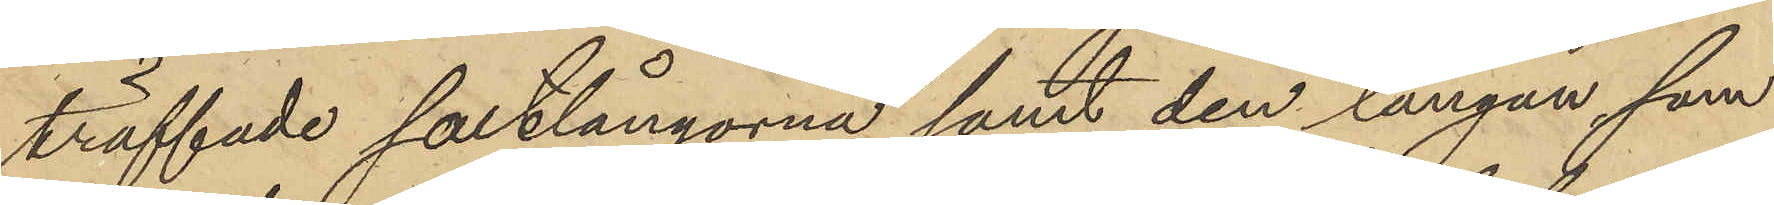träffade saltlångorna samt den långan, som
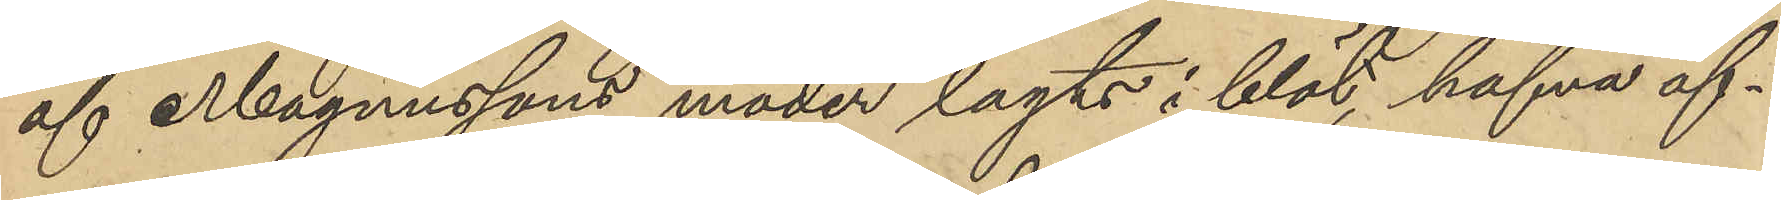af Magnussons moder lagts i blöt, hafva öf¬
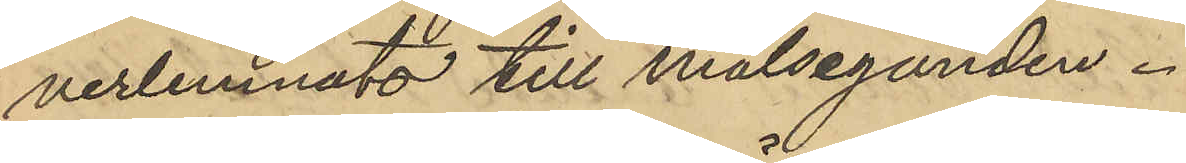verlemnats till målseganden.
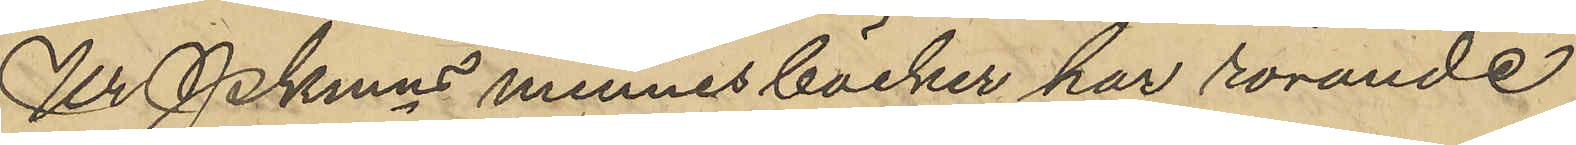Ur Pkmns minnesböcker har rörande
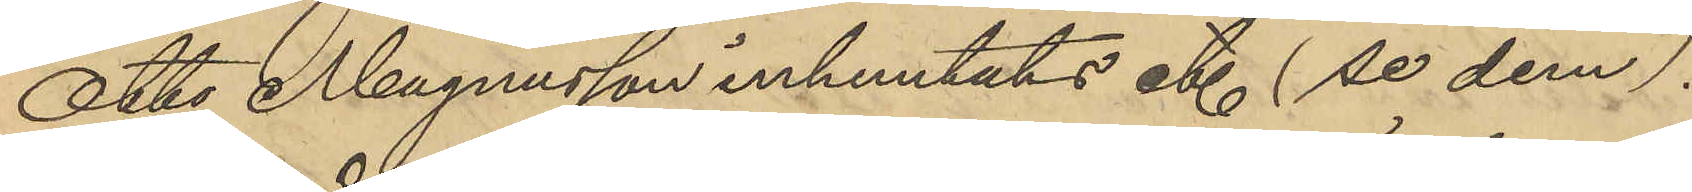Otto Magnusson inhemtats et (se dem).
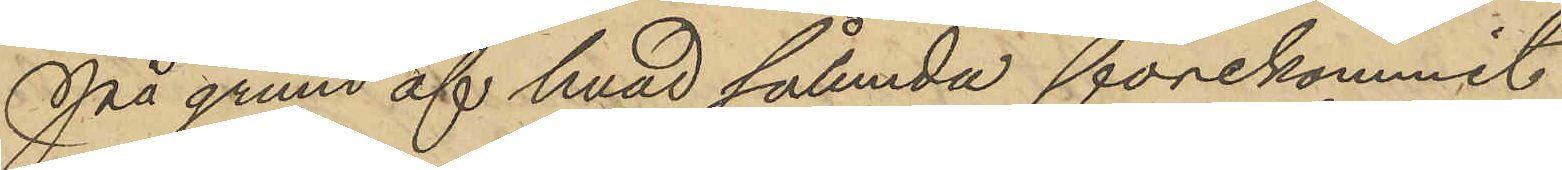På grund af hvad sålunda förekommit
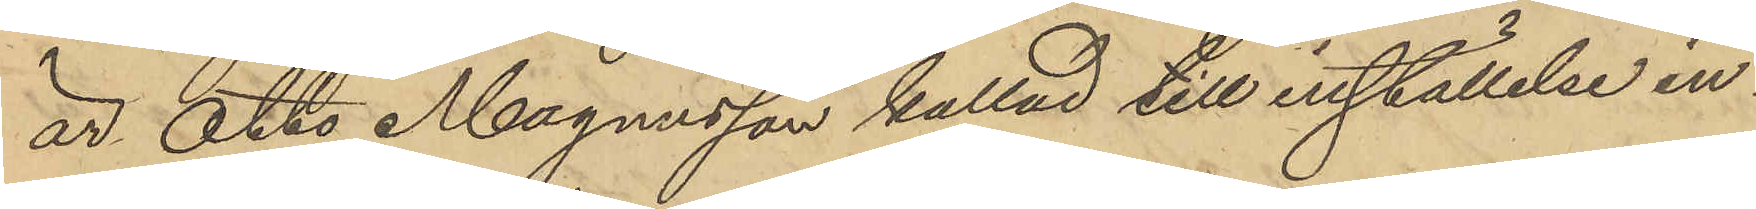är Otto Magnusson kallad till inställelse in¬
